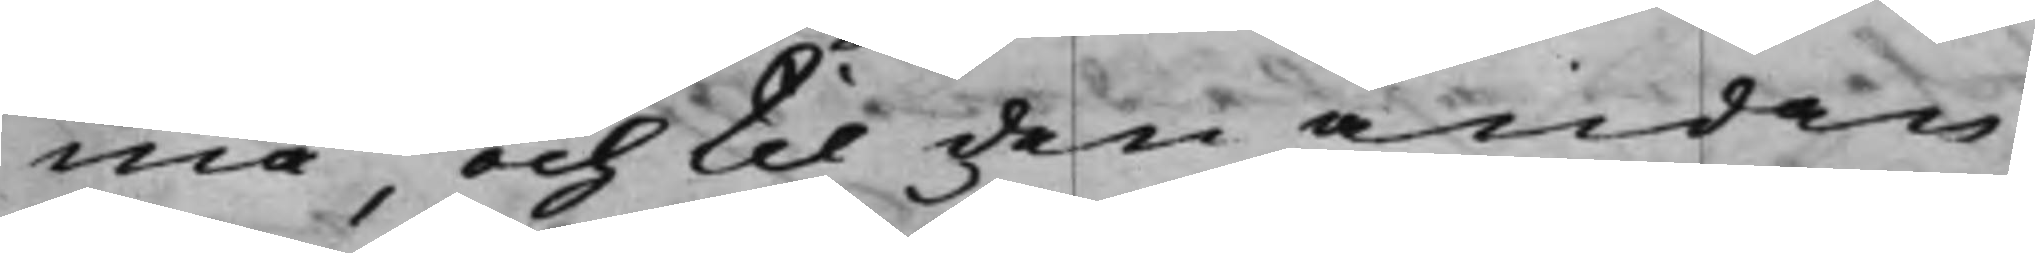må, och til den ändan,
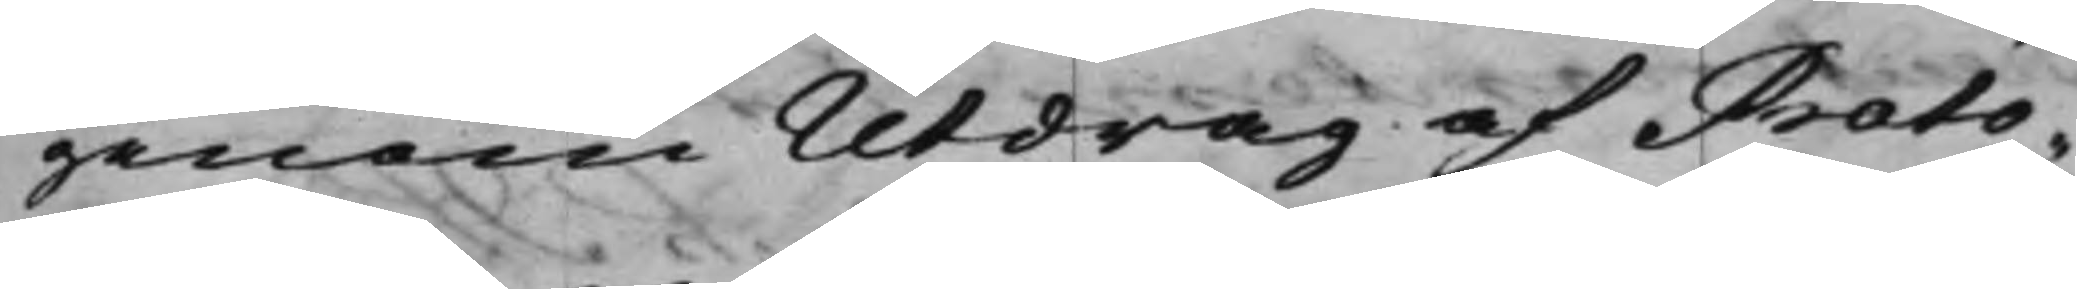genom Utdrag af Proto¬
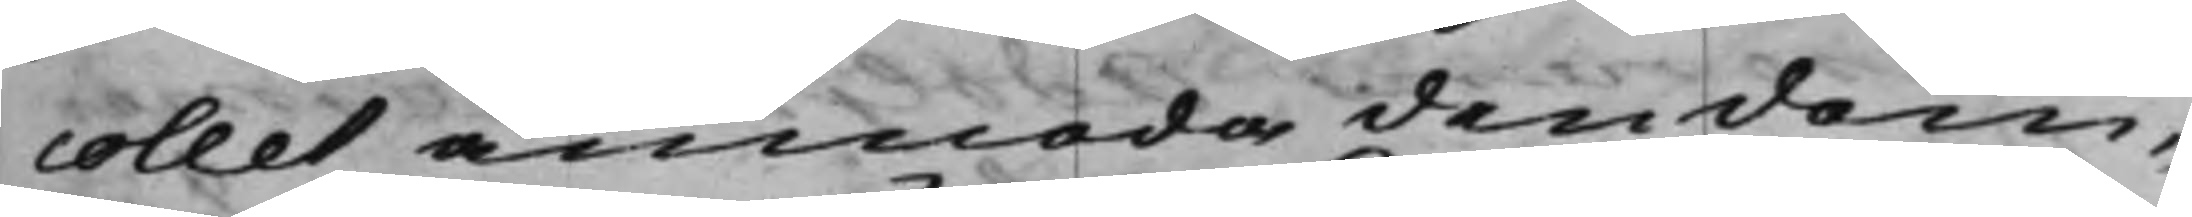collet anmoda den dom¬
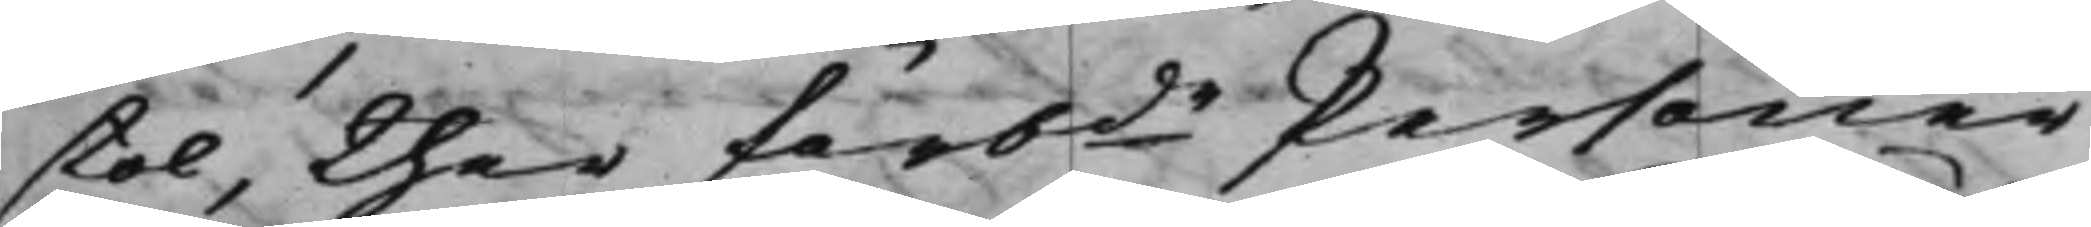stol, ther förbde Personer
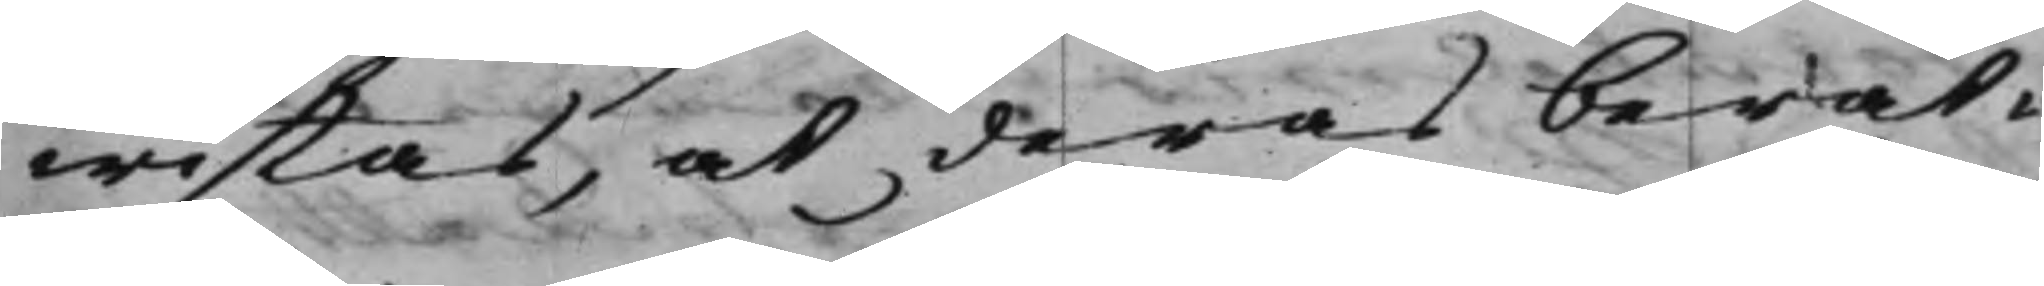wistas, at deras berät¬
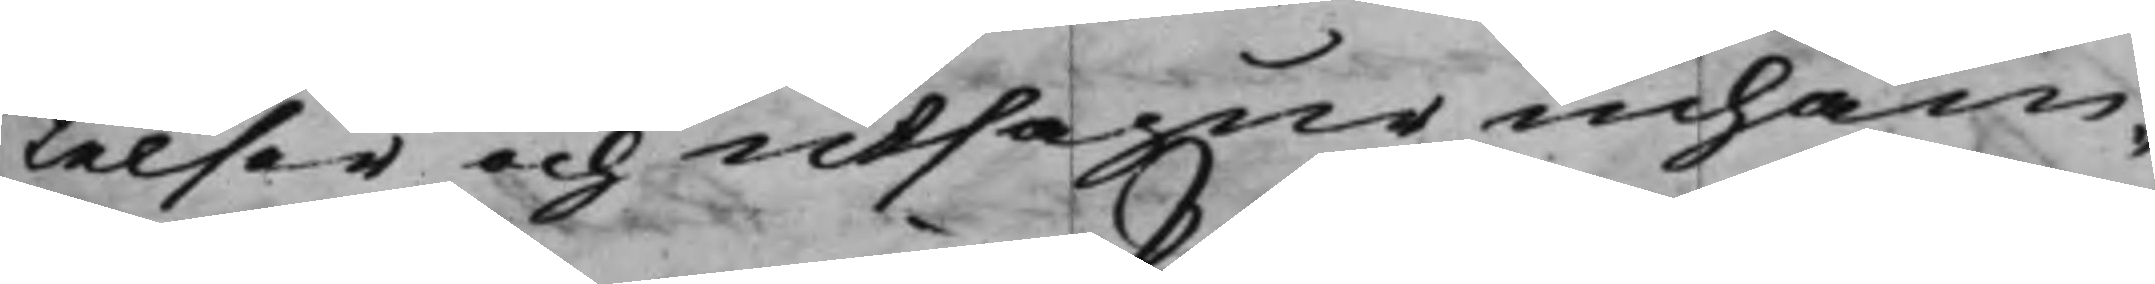telser och utsagur inhäm¬
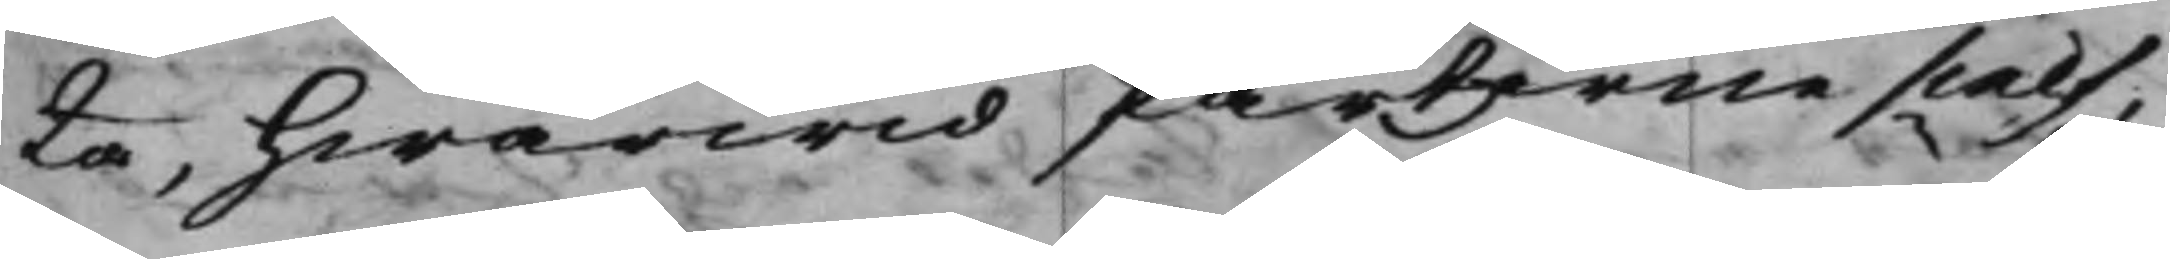ta, hwarwid Parterne sielf¬
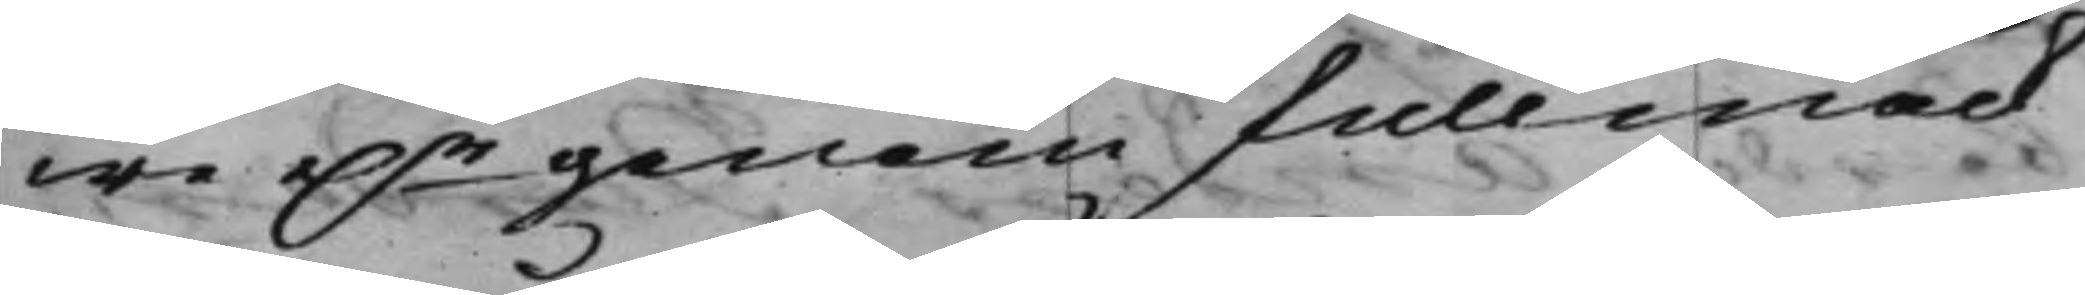we e..r genom fullmäck¬
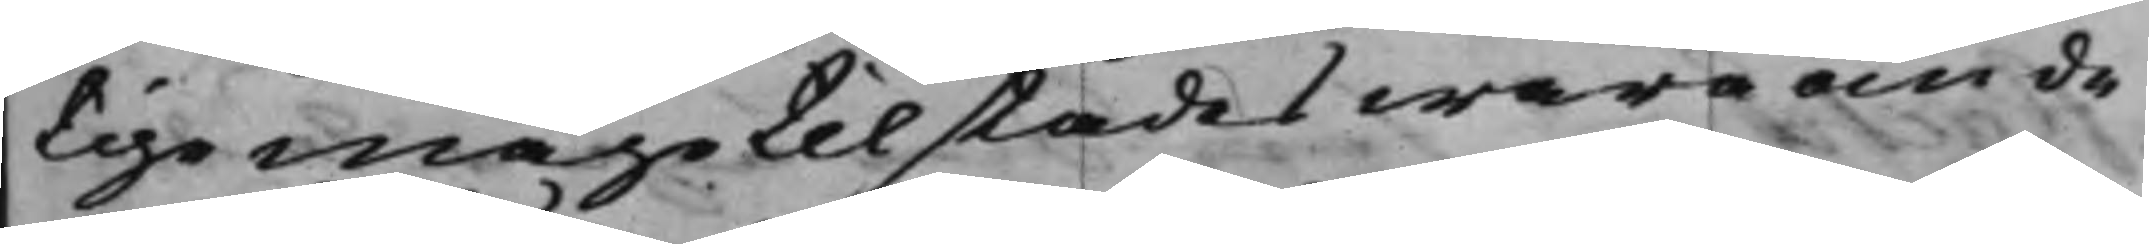tige måge tilstädes wara om de
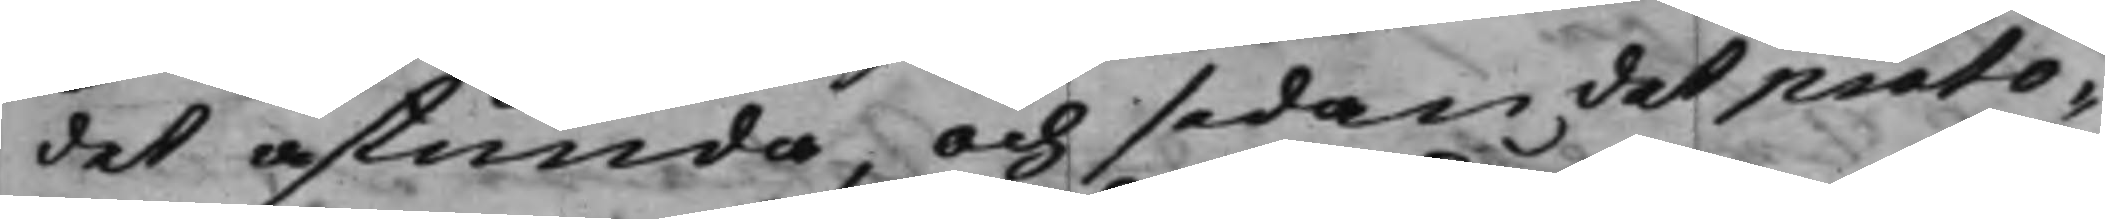det åstunda, och sedan det proto¬
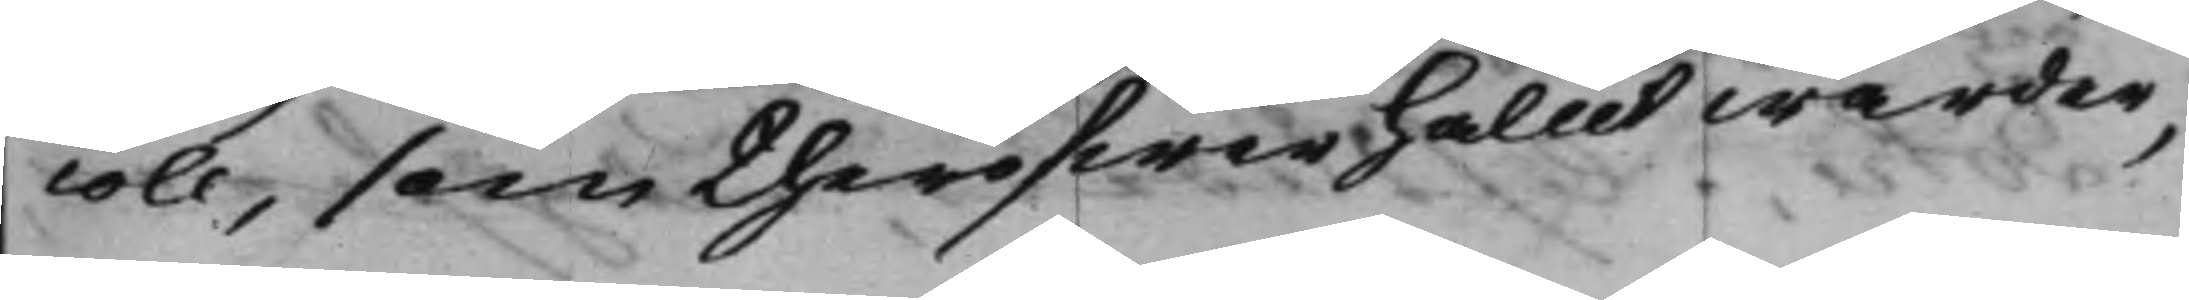coll, som theröfwer hållit warder,
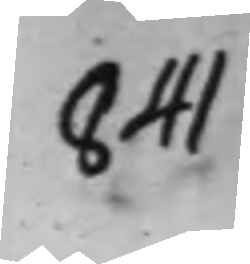841
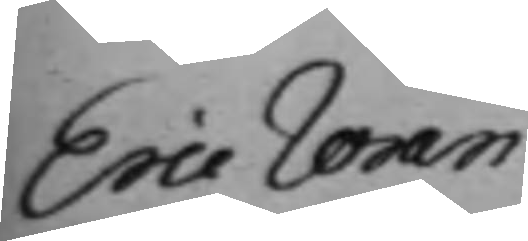Eric Wran¬
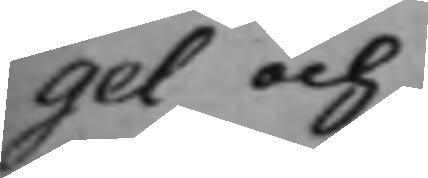gel och
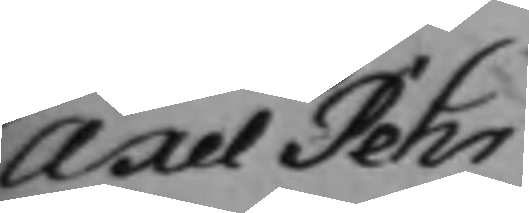Axel Pehr
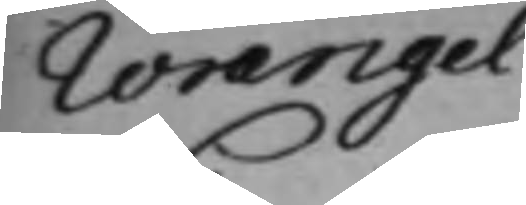Wrangel
